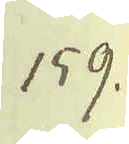159.
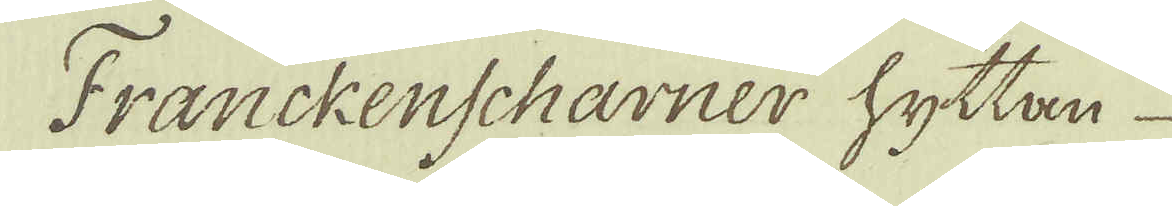Franckenscharner hyttan
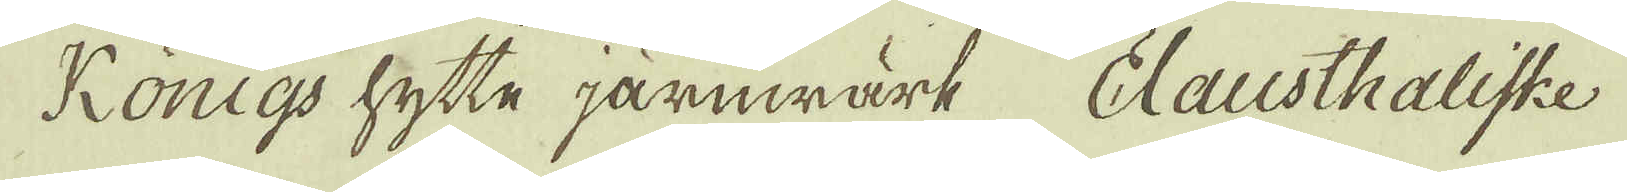Königs hytte järnwärk Clausthaliske
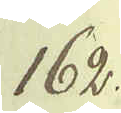162.
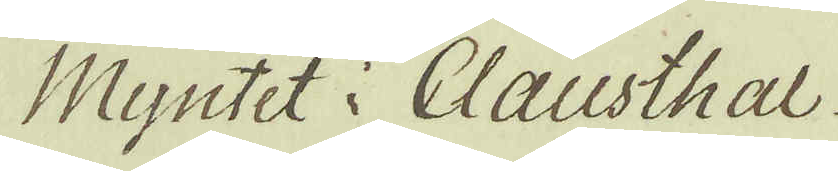Myntet i Clausthal
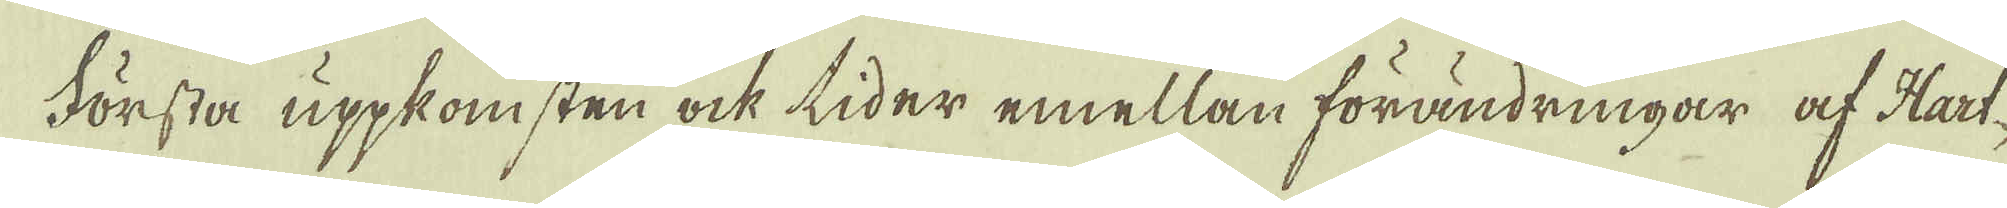Första uppkomsten ock tider emellan förändringar af Hart-
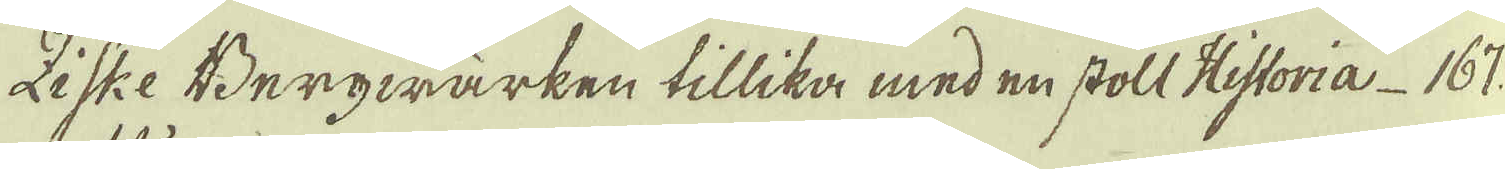ziske Bergwärken tillika med en stoll Historia 167.
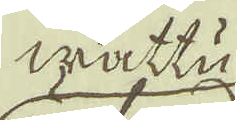wattu
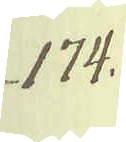174.
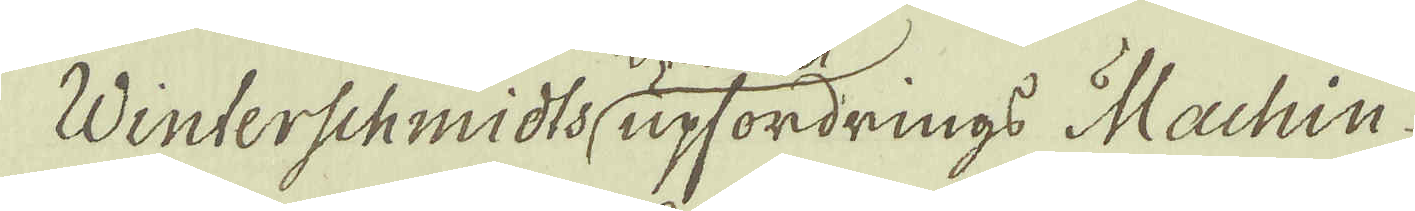Winterschmidts upfordrings Machin.
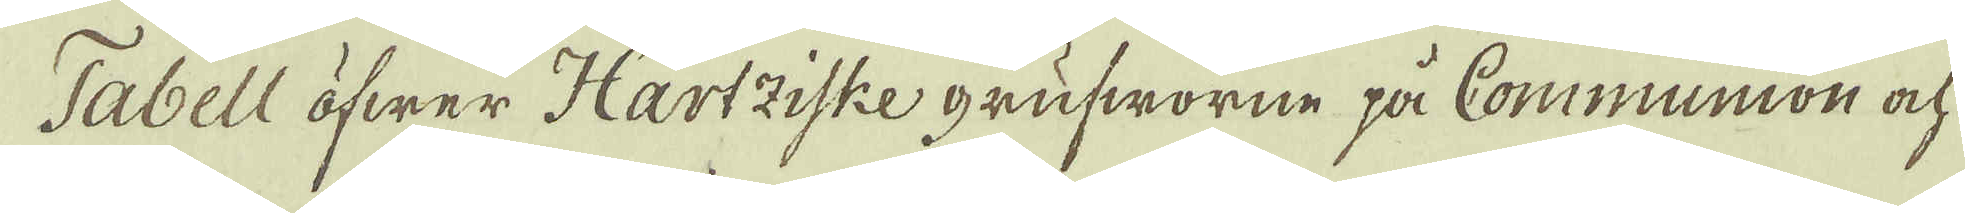Tabell öfwer Hartziske grufworne på Communion ock
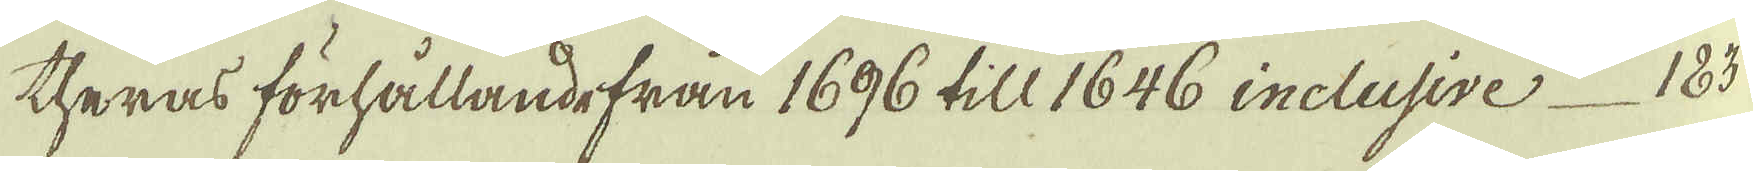theras förhållandefrån 1696 till 1646 inclusive 183
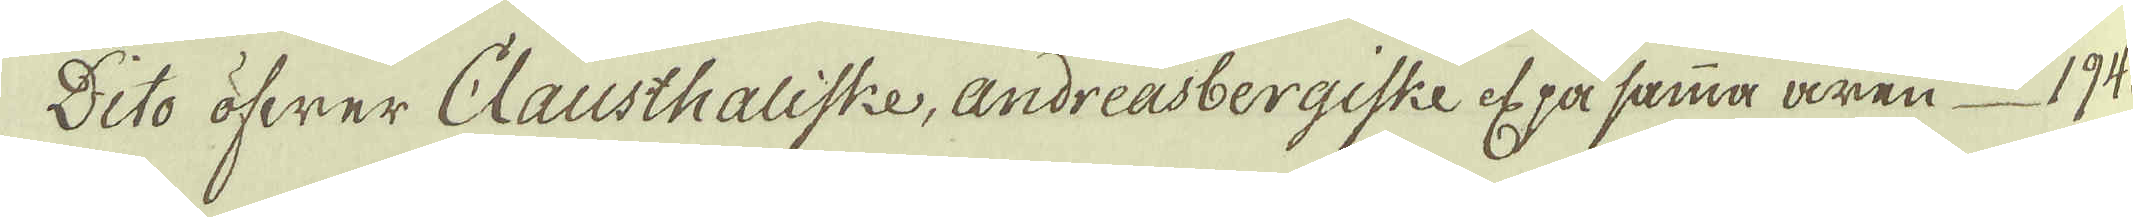Dito öfwer Clausthaliske, andreasbergiske ef på samma åren 194.
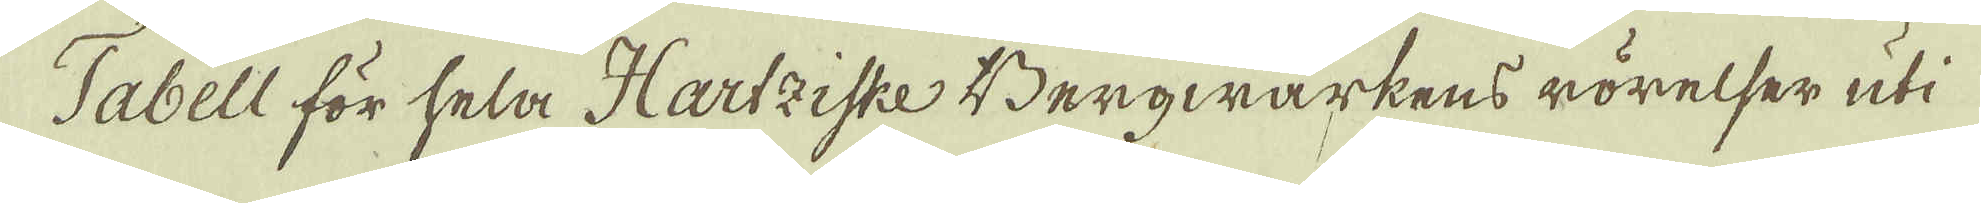Tabell för hela Hartziske Bergwärkens rörelser uti
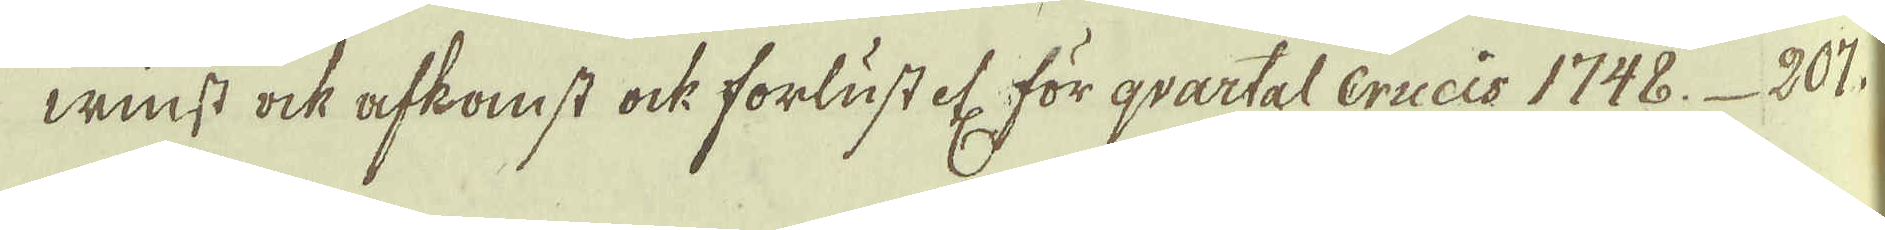winst ock afkomst ock forlustet för qvartal Crucis 1748. 201.
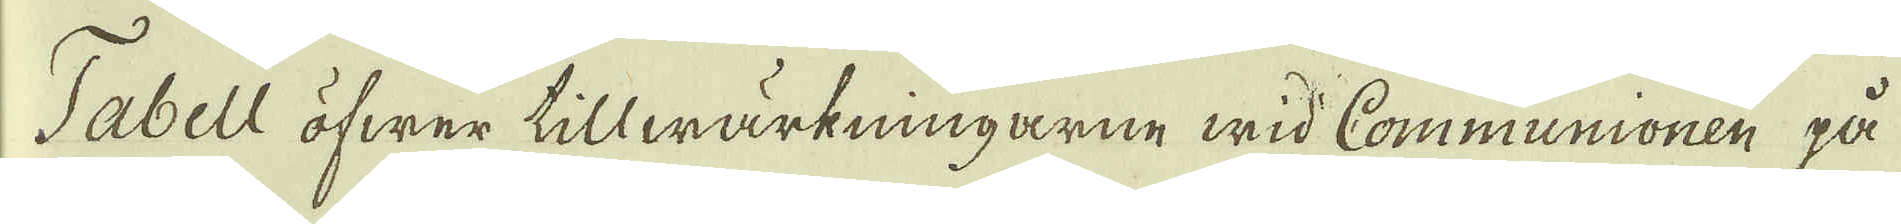Tabell öfwer tillwärkningarne wid Communionen på
